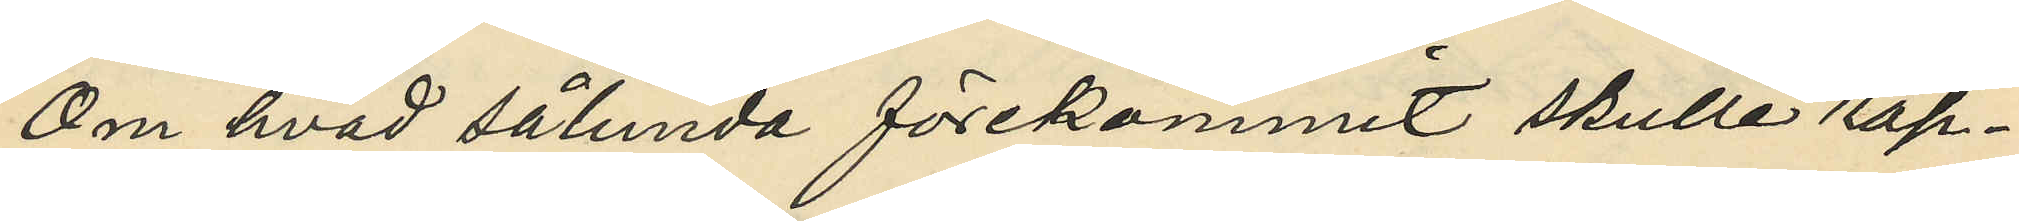Om hvad sålunda förekommit skulle rap¬
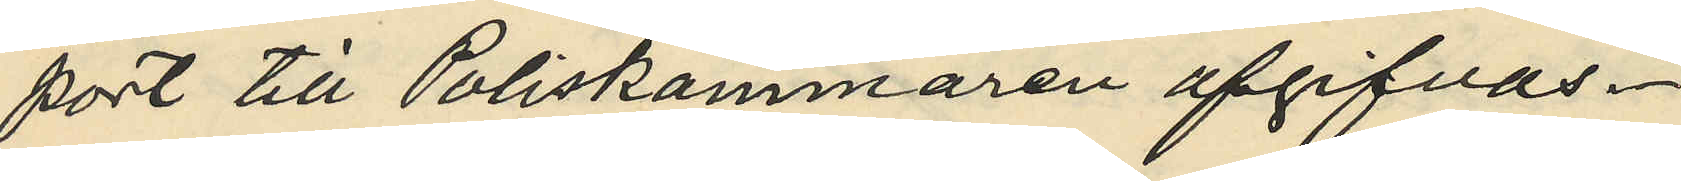port till Poliskammaren afgifvas.
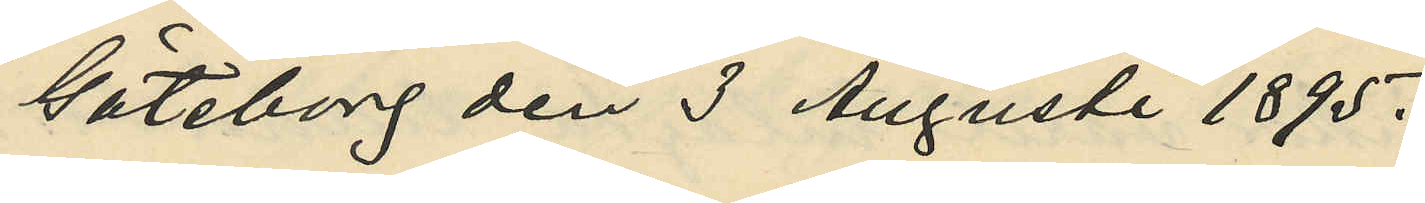Göteborg den 3 Augusti 1895.
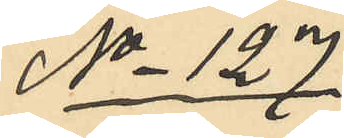No 127.
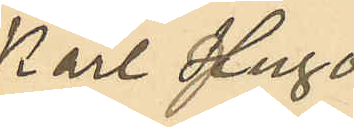Karl Hugo
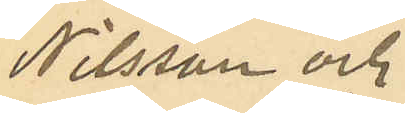Nilsson och
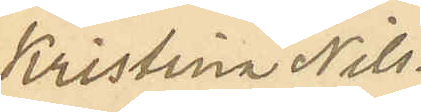Kristina Nils¬
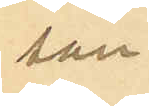son.
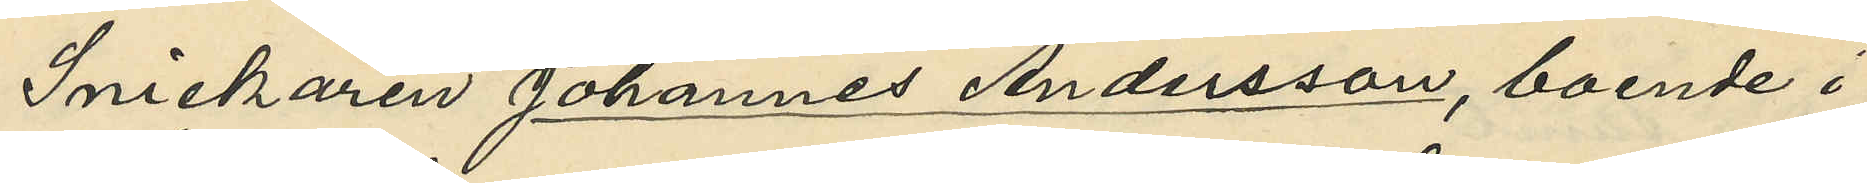Snickaren Johannes Andersson, boende i
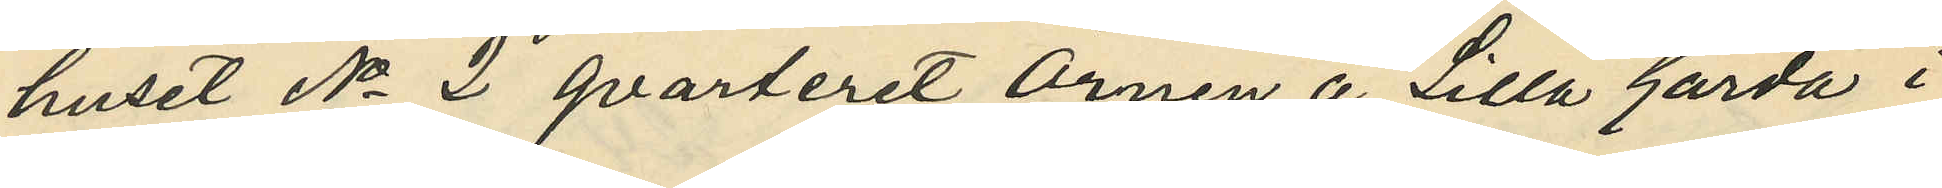huset No 2 qvarteret Örnen å Lilla Gårda i
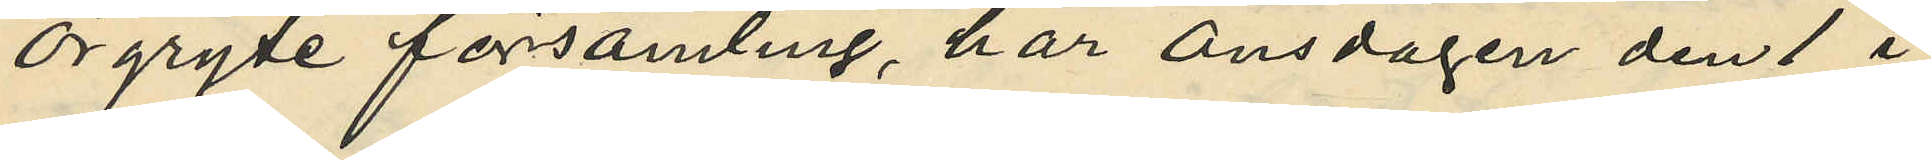Örgryte församling, har onsdagen den 1 i
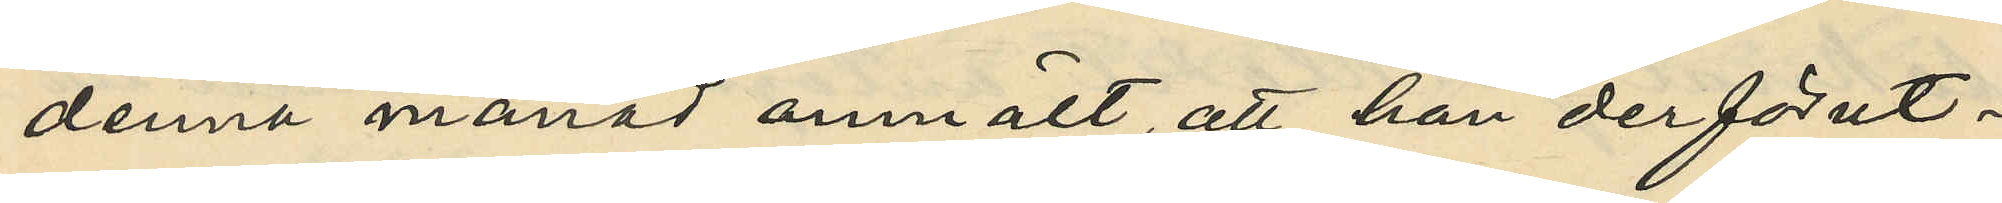denna månad anmält, att han der förut¬
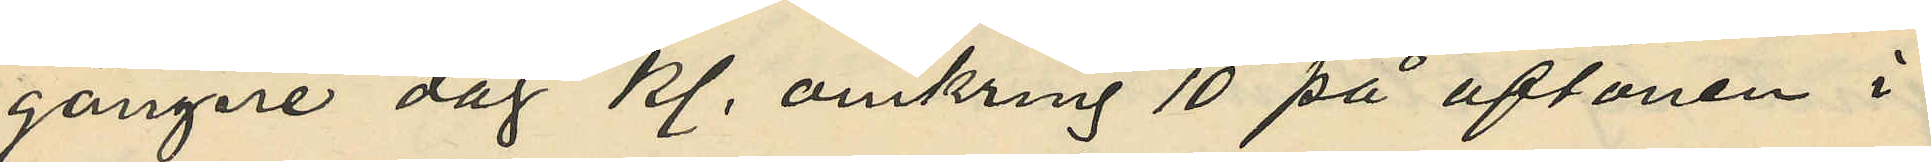gångare dag kl. omkring 10 på aftonen i
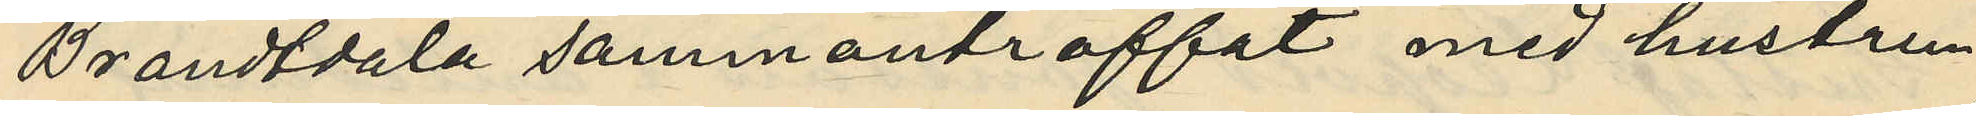Brandtdala sammanträffat med hustru
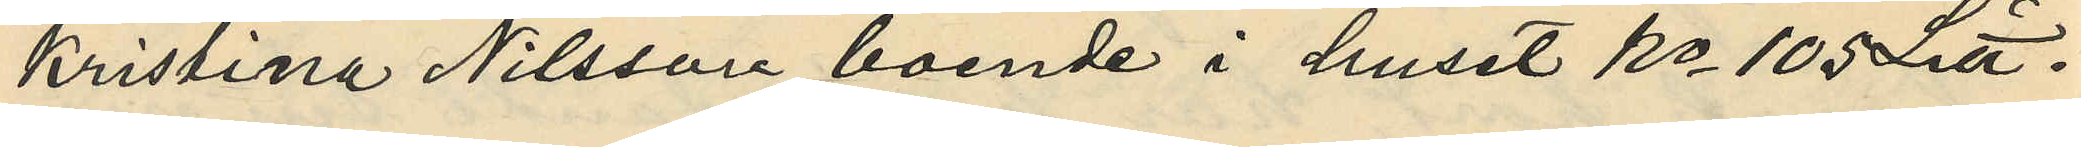Kristina Nilsson boende i huset No 105 Litt.
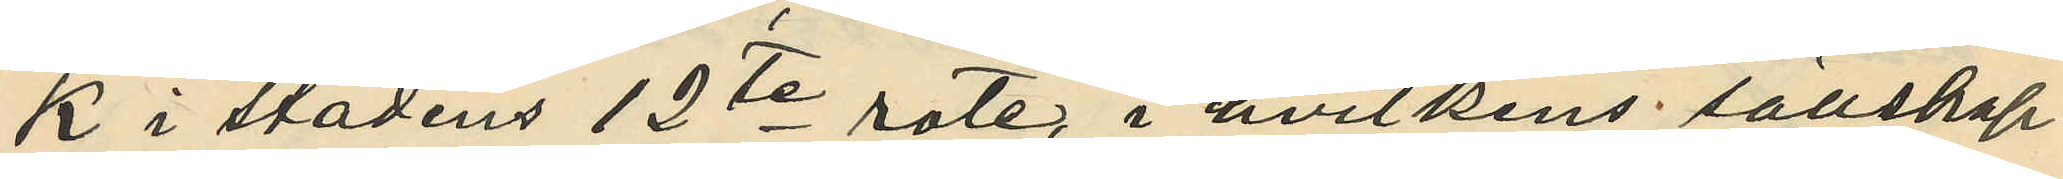k i stadens 12te rote, i hvilkens sällskap
